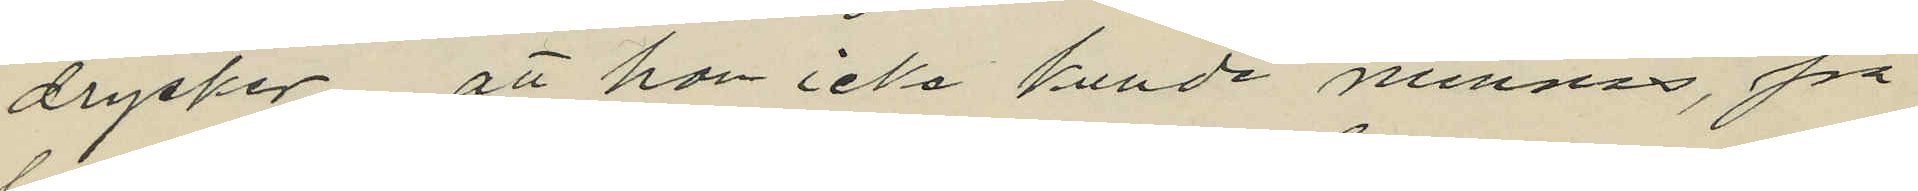drycker, att han icke kunde minnas, på
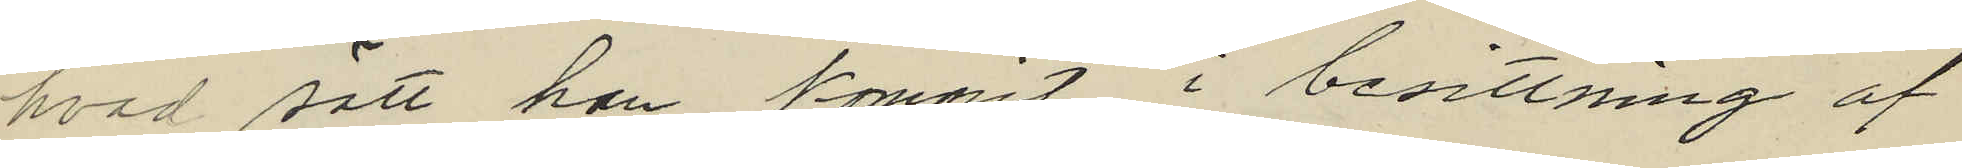hvad sätt han kommit i besittning af
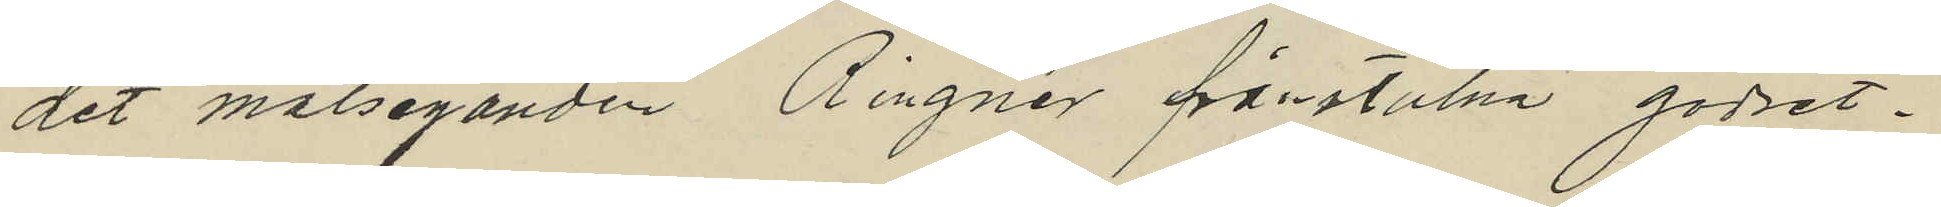det målseganden Ringnér frånstulna godset.
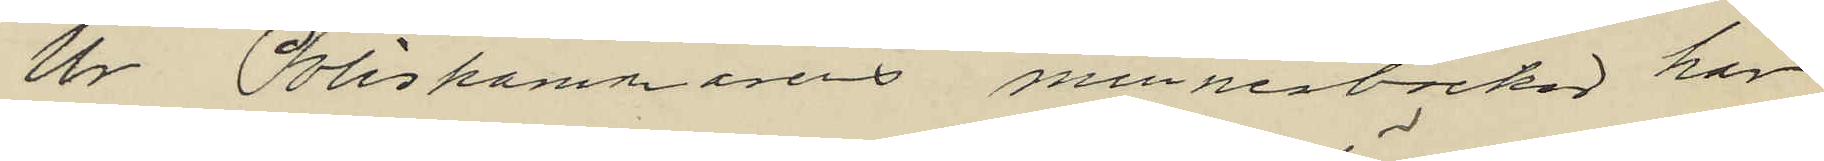Ur Poliskammarns minnerböcker har
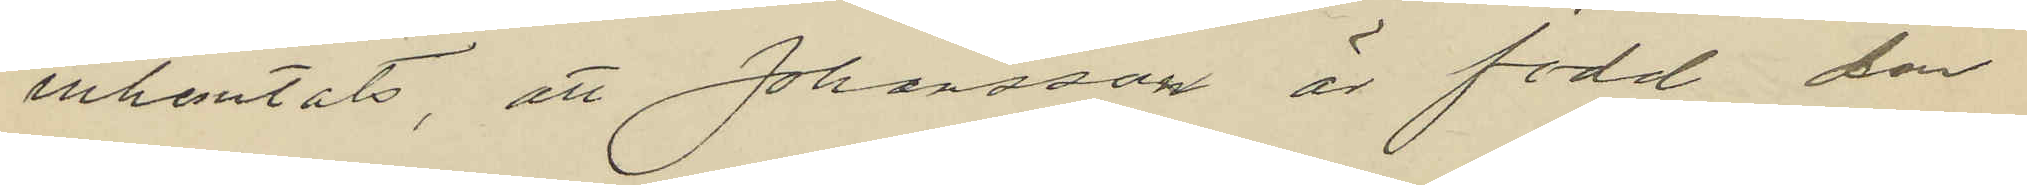inhemtats, att Johansson är född den
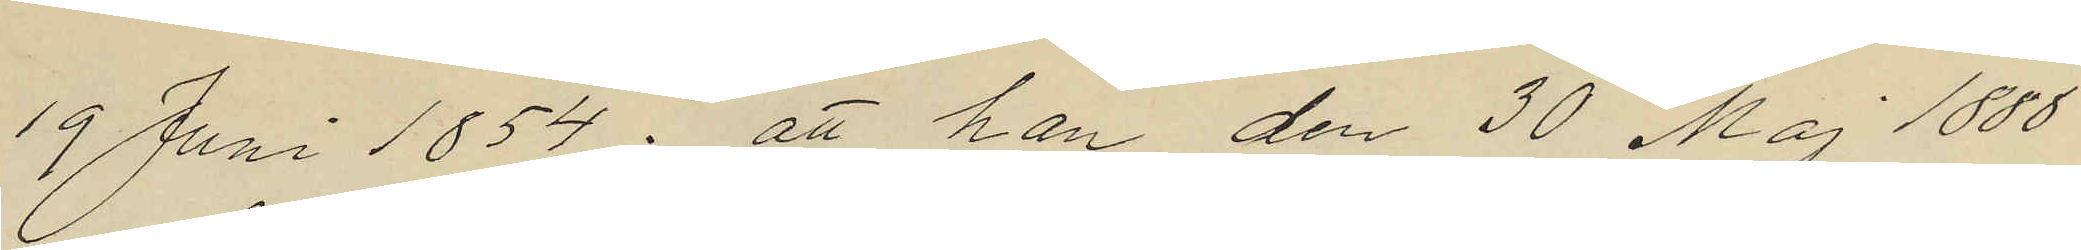19 Juni 1854; att han den 30 Maj 1888
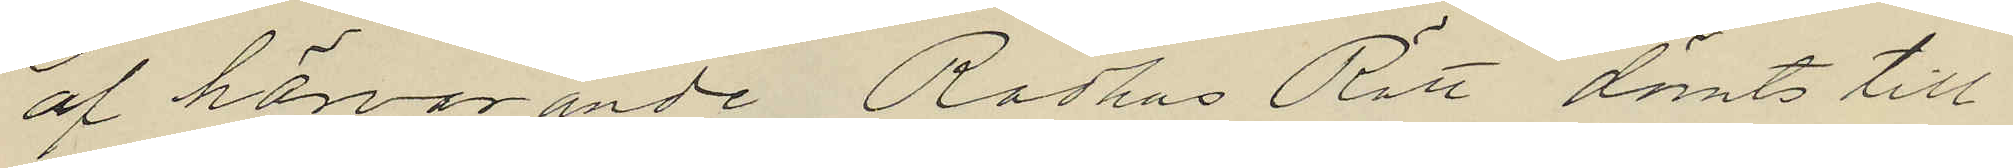af härvarande Rådhus Rätt dömts till
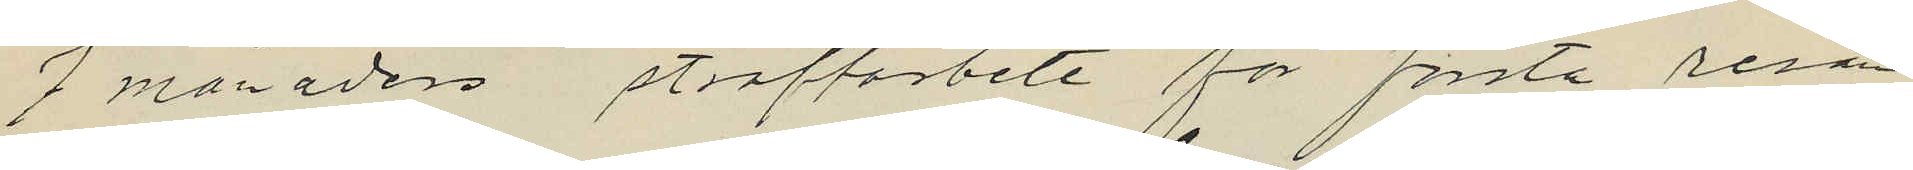7 månaders straffarbete för första resan
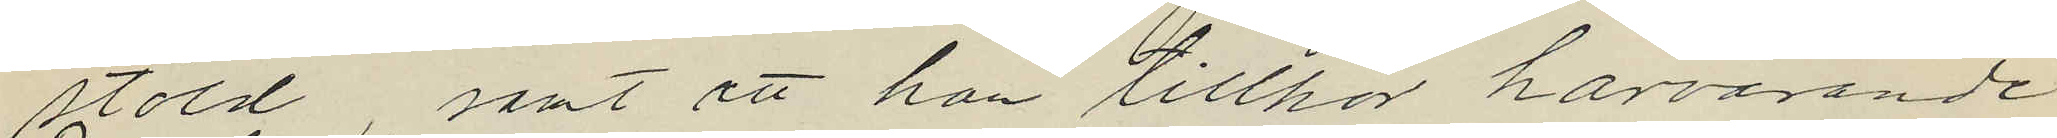stöld samt att han tillhör härvarande
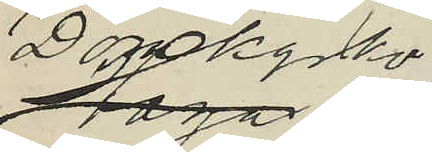Domkyrko¬
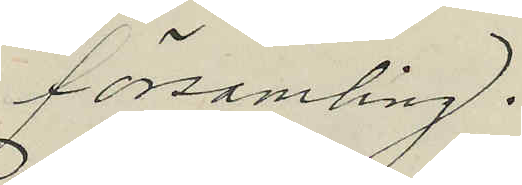församling.
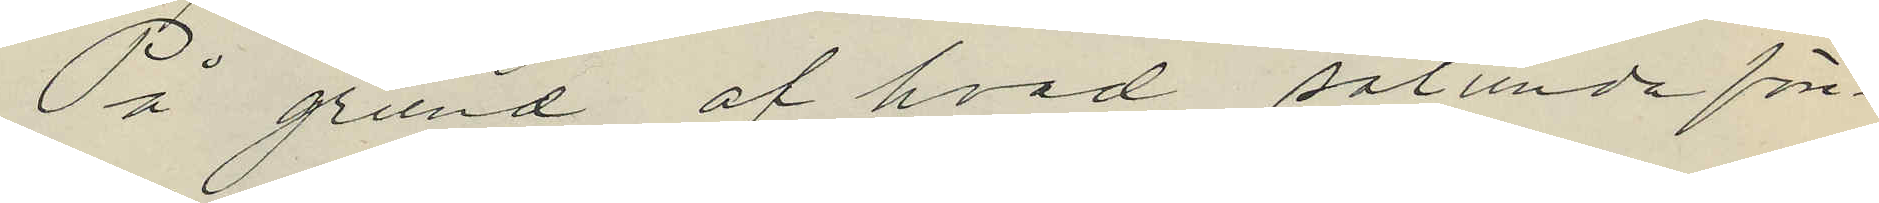På grund af hvad sålunda före¬
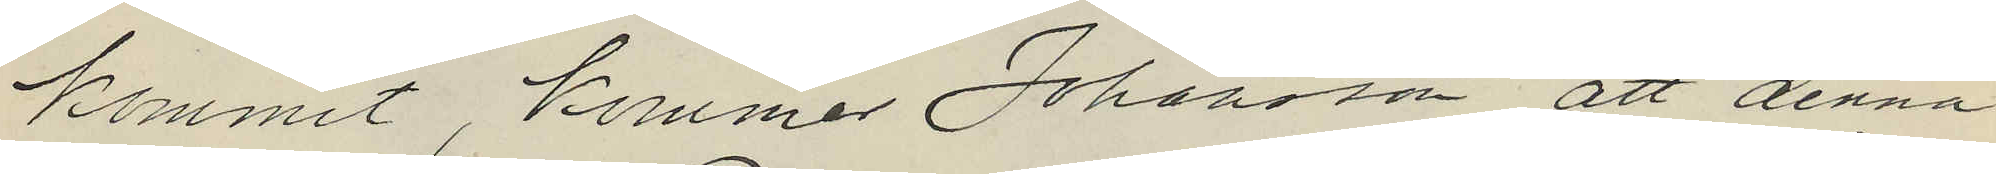kommit, kommer Johansson att denna
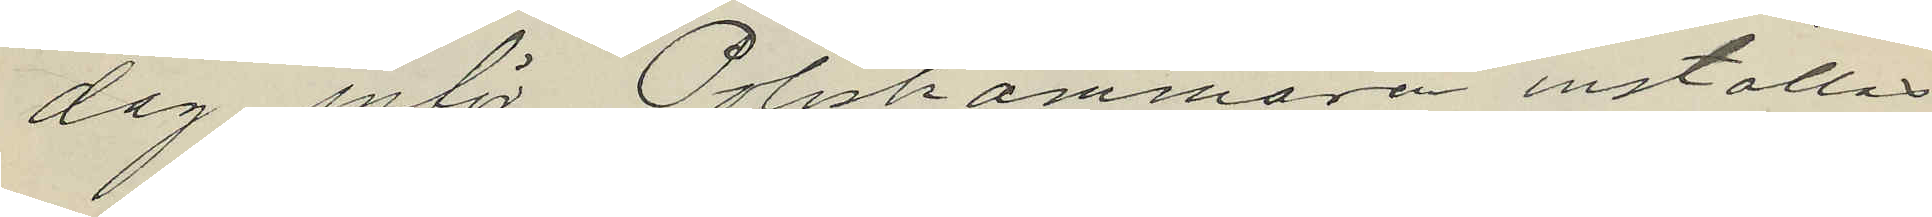dag inför Poliskammaren inställas.
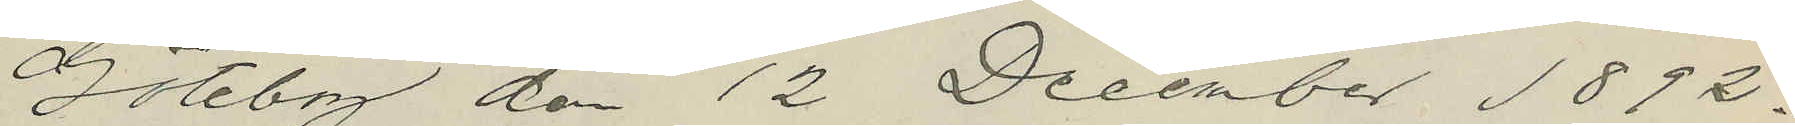Göteborg den 12 December 1892.
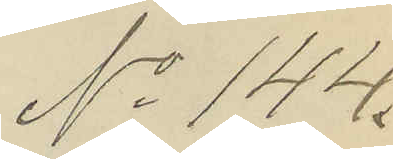No 144.
